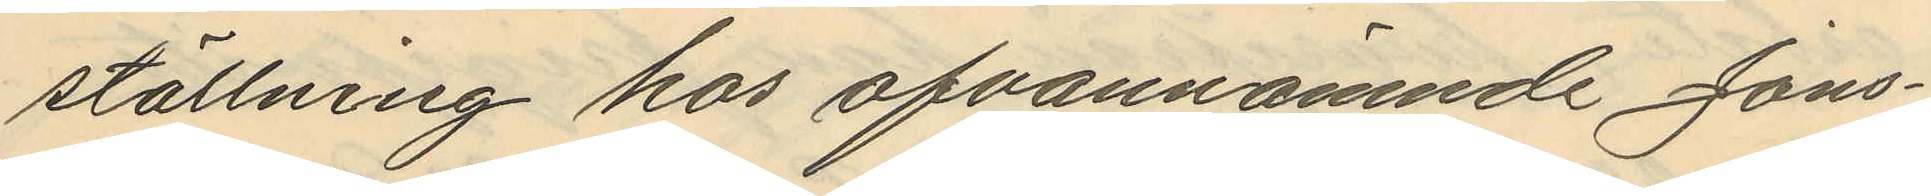ställning hos ofvannämnde Jons¬
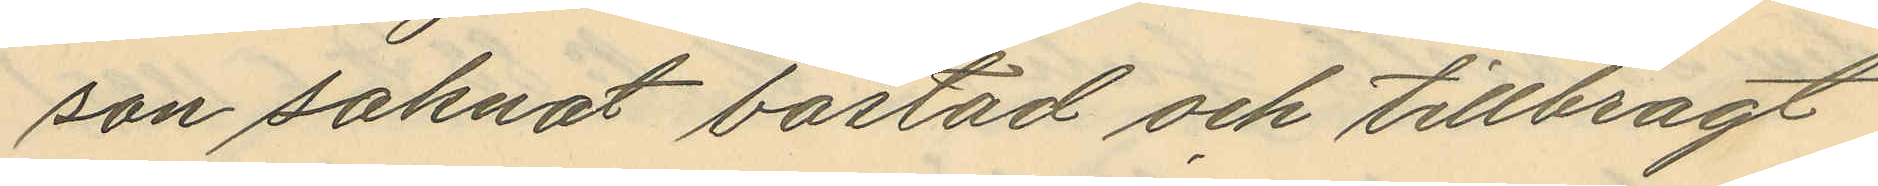son saknat bostad och tillbragt
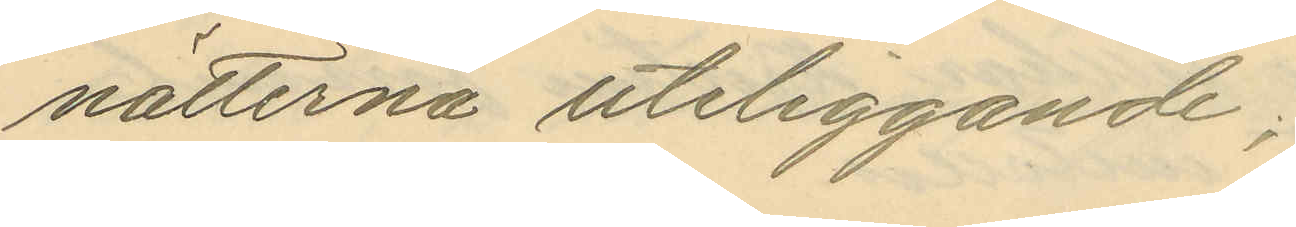nätterna uteliggande;
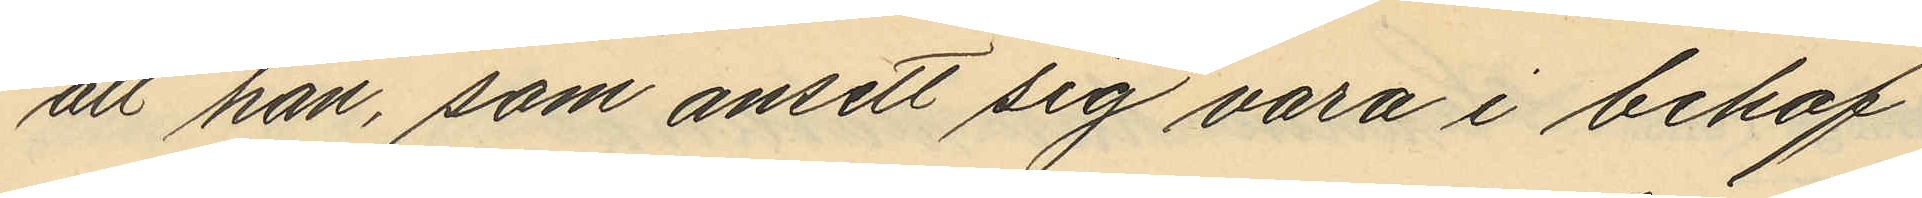att han, som ansett sig vara i behof
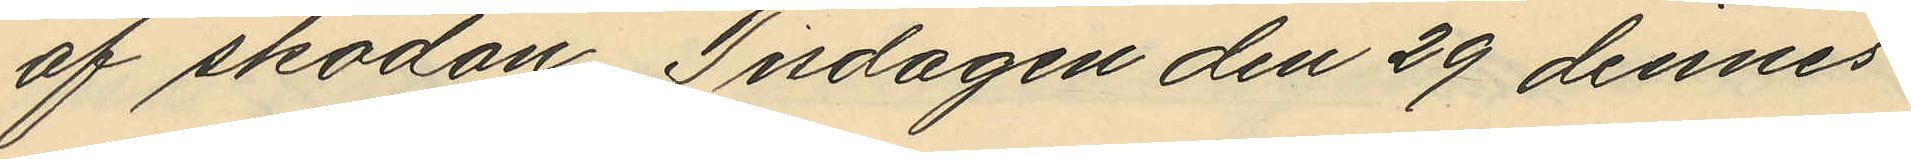af skodon Tisdagen den 29 dennes
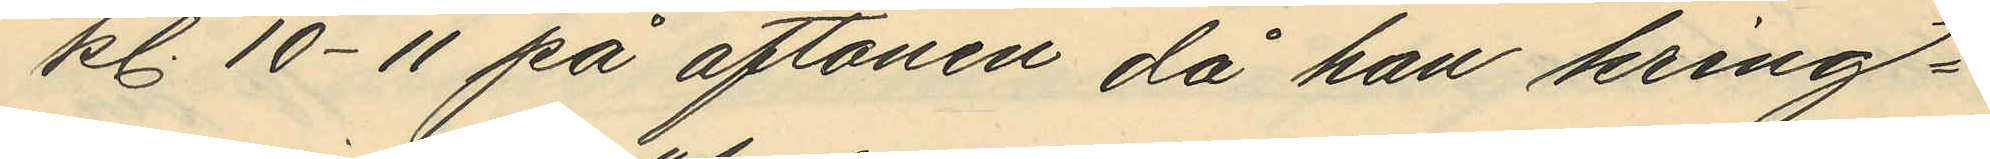kl. 10-11 på aftonen, då han kring¬
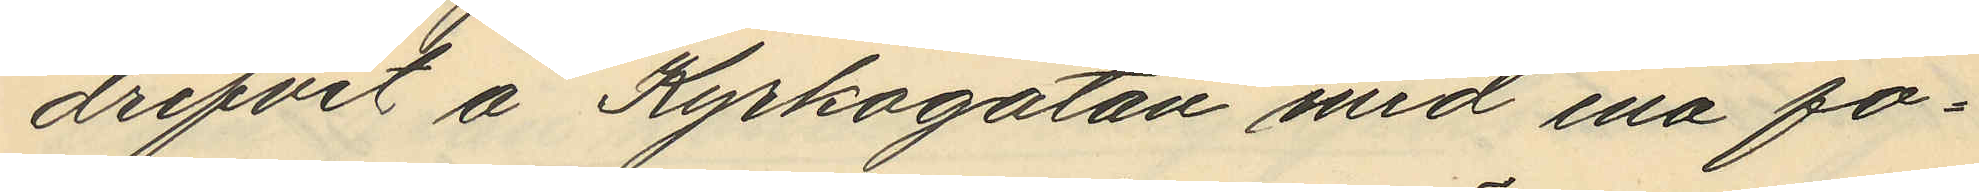drifvit å Kyrkogatan med ena fo¬
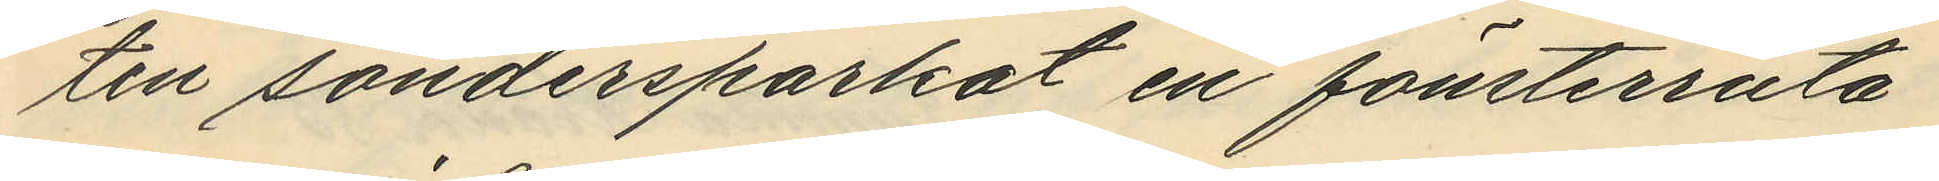ten söndersparkat en fönsterruta
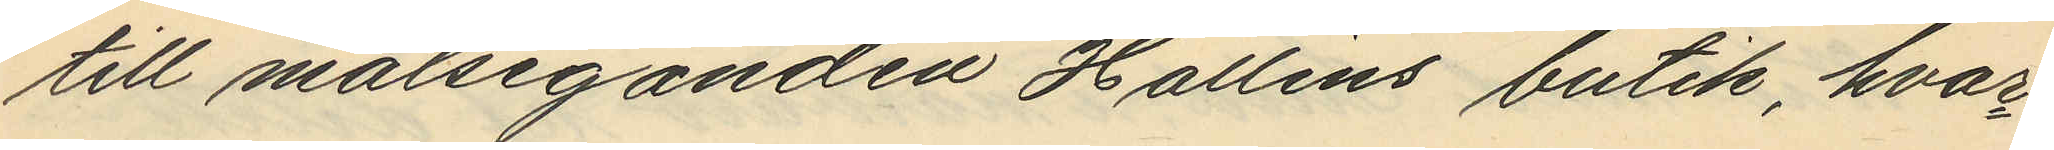till målseganden Hallins butik, hvar¬
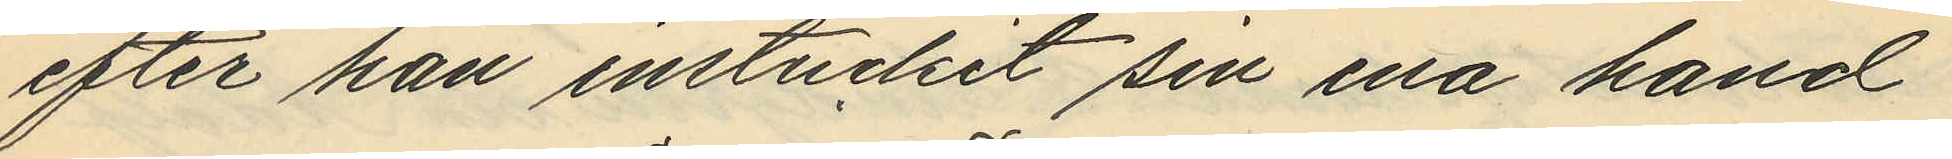efter han instuckit sin ena hand¬
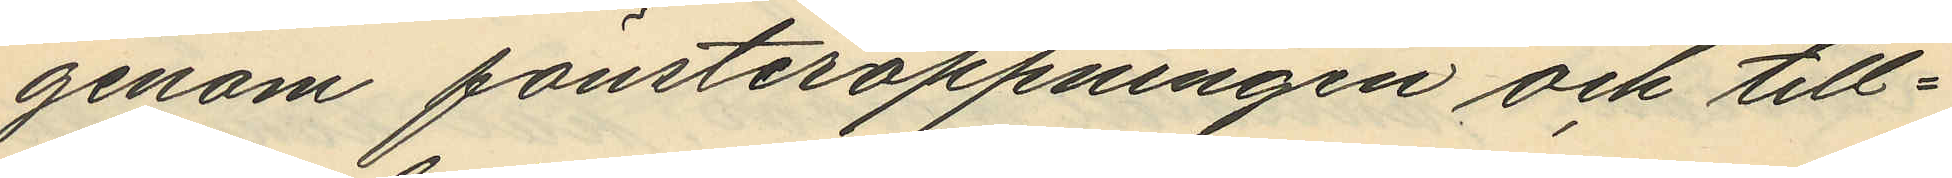genom fönsteröppningen och till¬
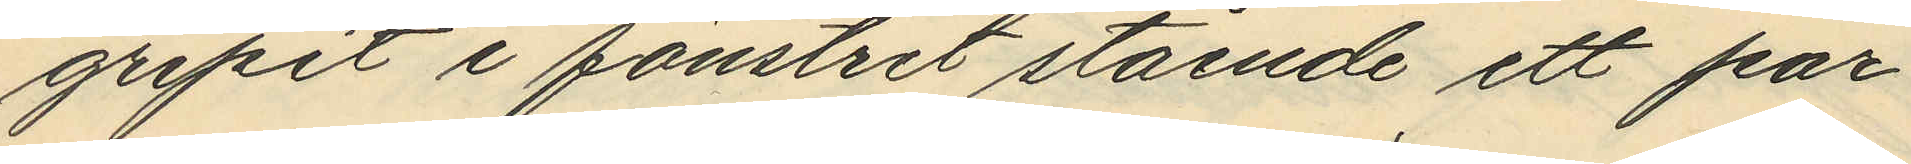gripit i fönstret stående ett par
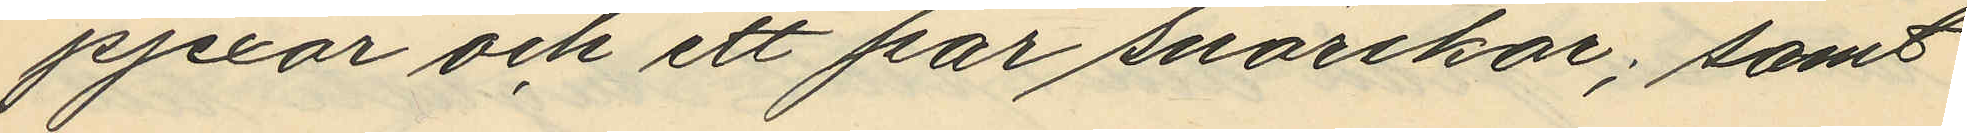pjexor och ett par snörskor; samt
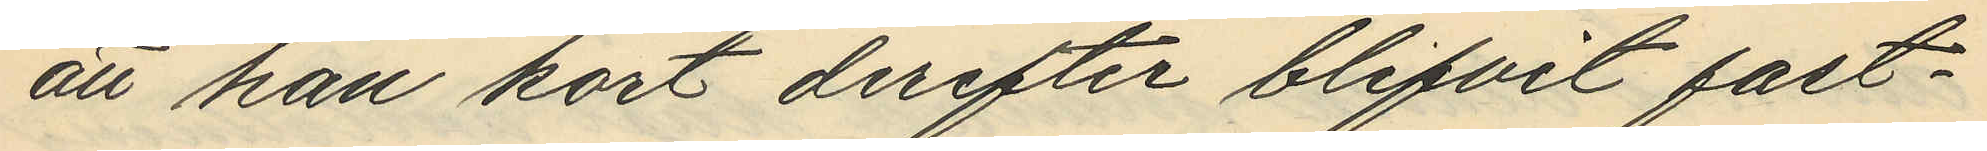att han kort derefter blifvit fast¬
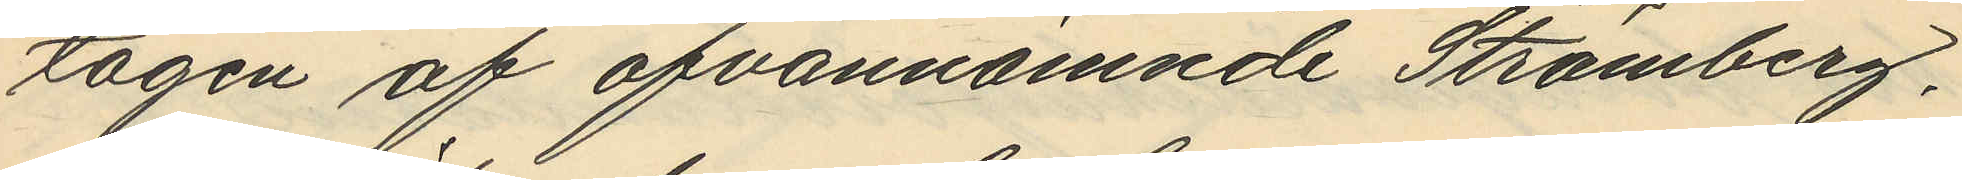tagen af ofvannämnde Strömberg,
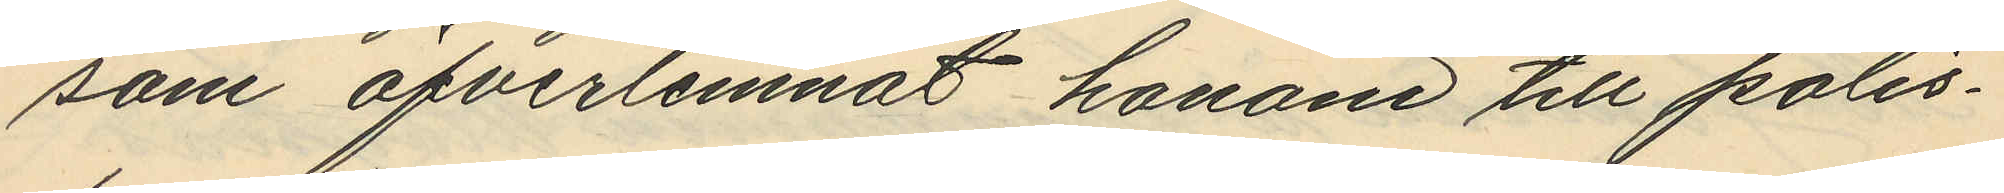som öfverlemnat honom till polis¬
